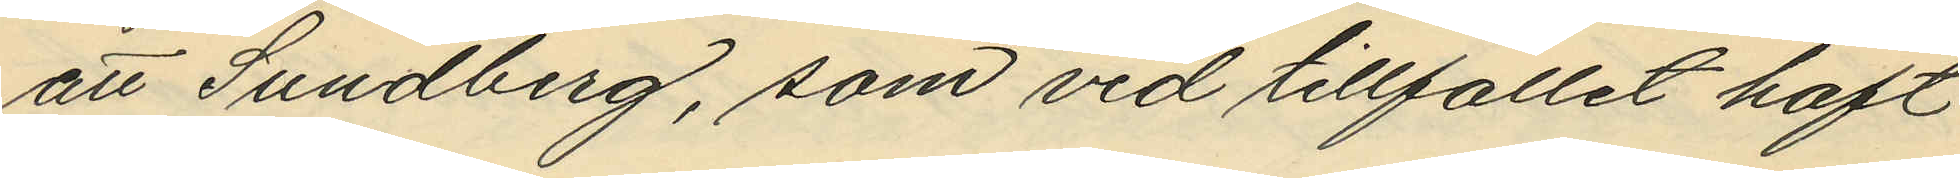att Sundberg, som vid tillfället haft
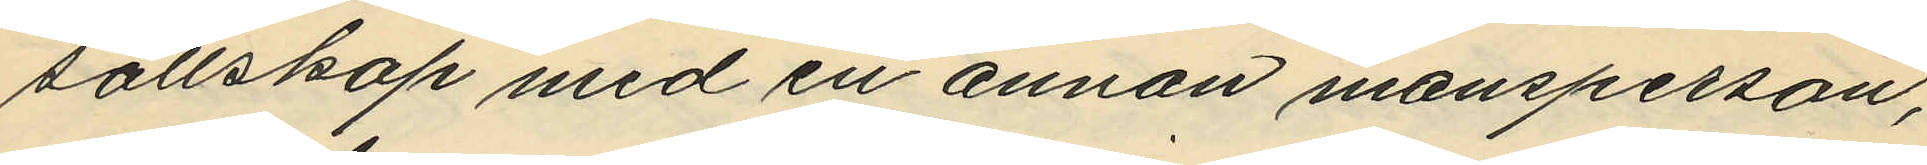sällskap med en annan mansperson,
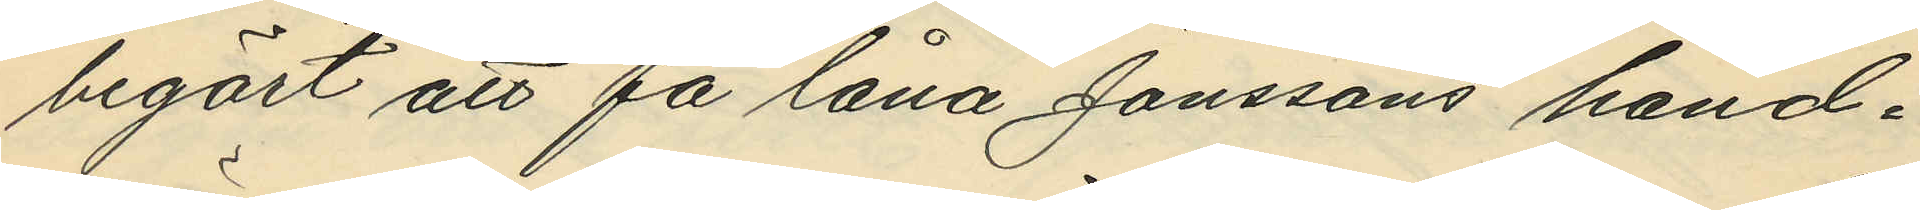begärt att få låna Jonssons hand¬
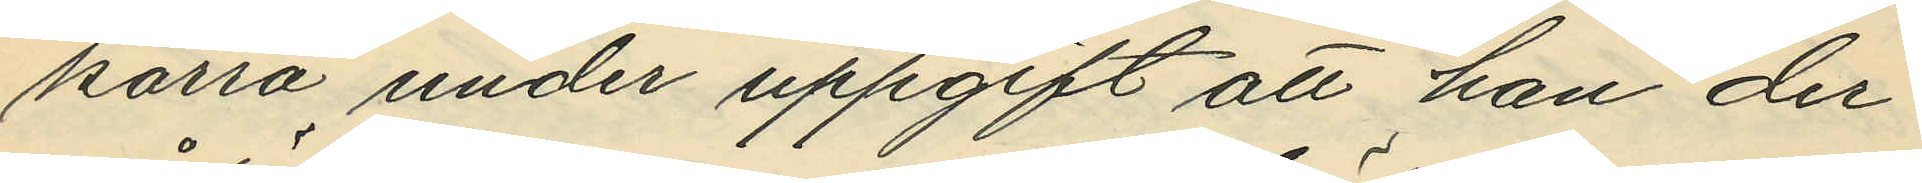kärra under uppgift att han der¬
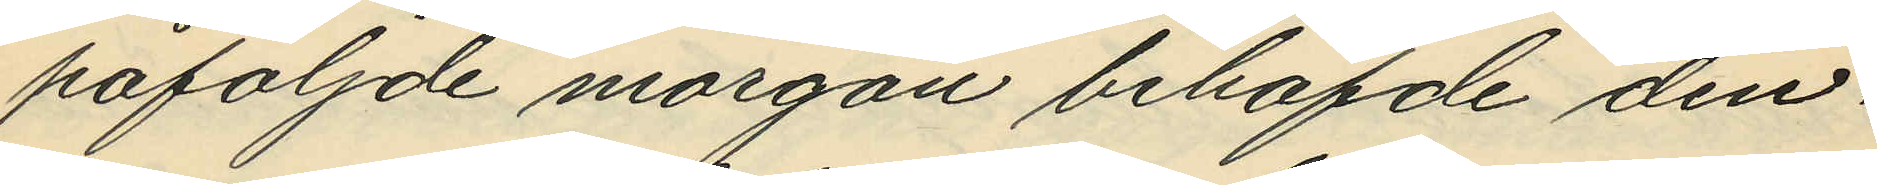påföljde morgon behöfde den¬
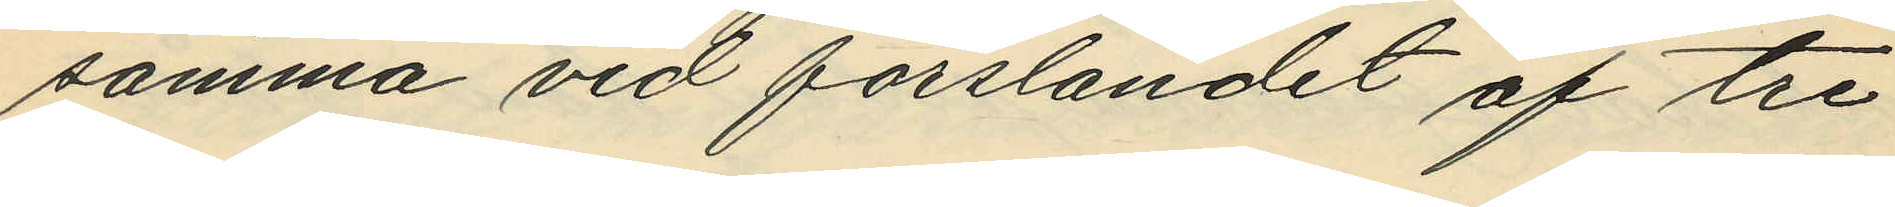samma vid forslandet af tre
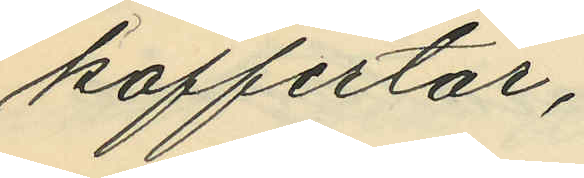koffertar;
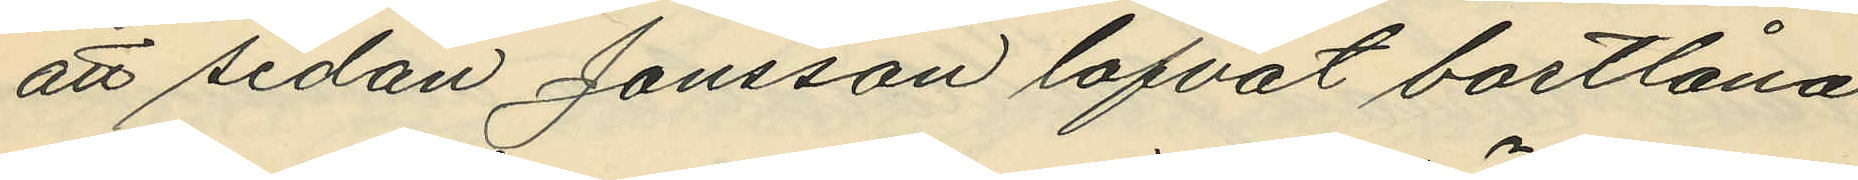att sedan Jonsson lofvat bortlåna
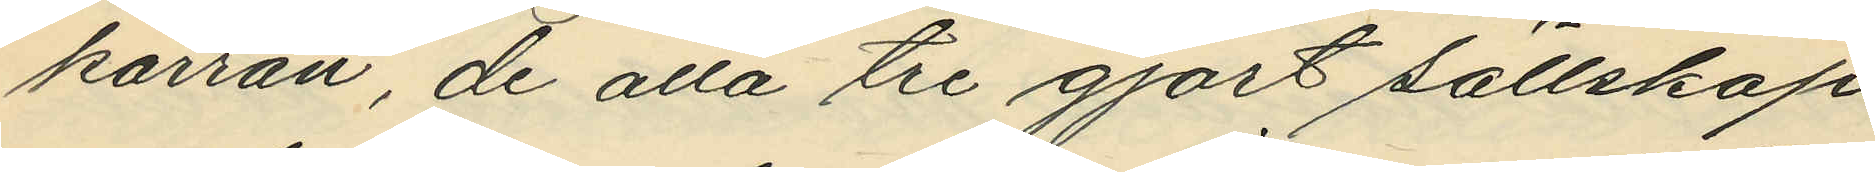kärran, de alla tre gjort sällskap
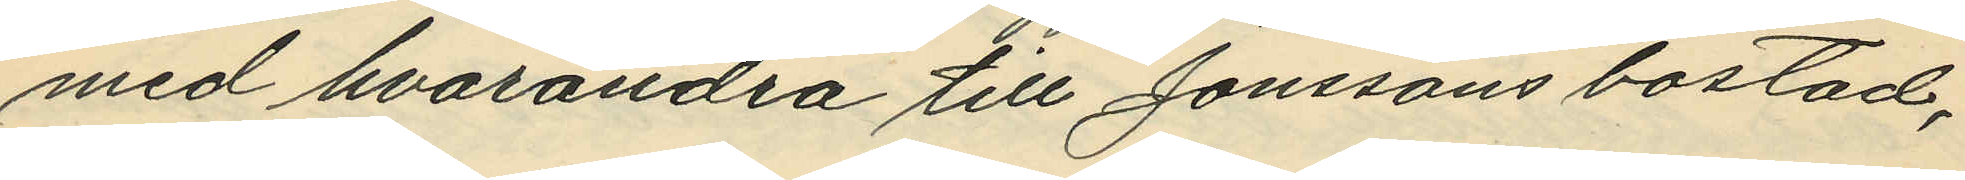med hvarandra till Jonssons bostad,
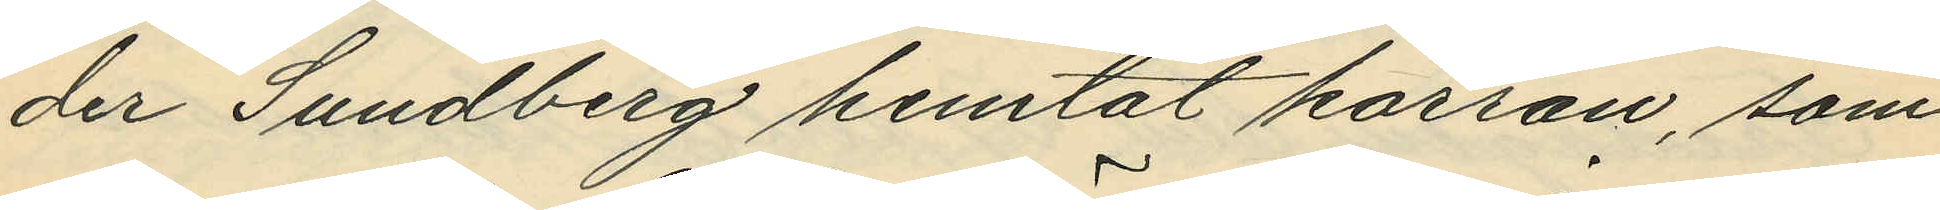der Sundberg hemtat kärran, som
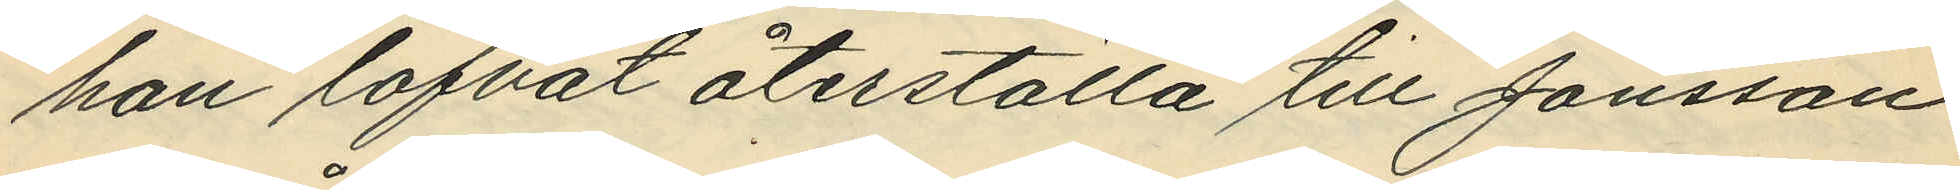han lofvat återställa till Jonsson
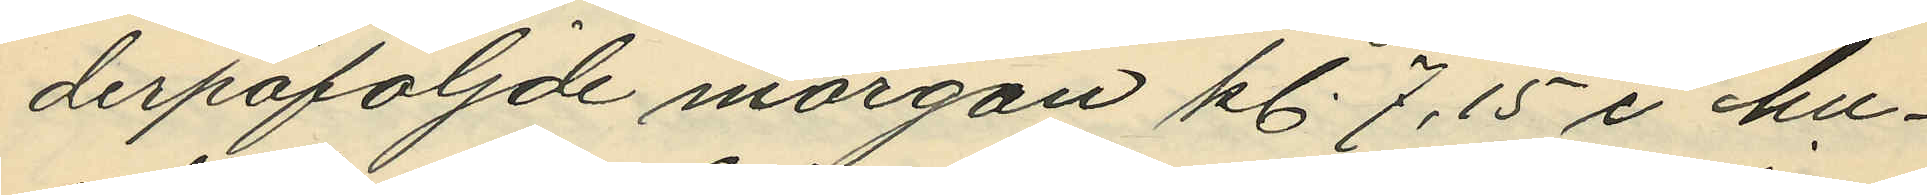derpåföljde morgon kl. 7,15 i hu¬
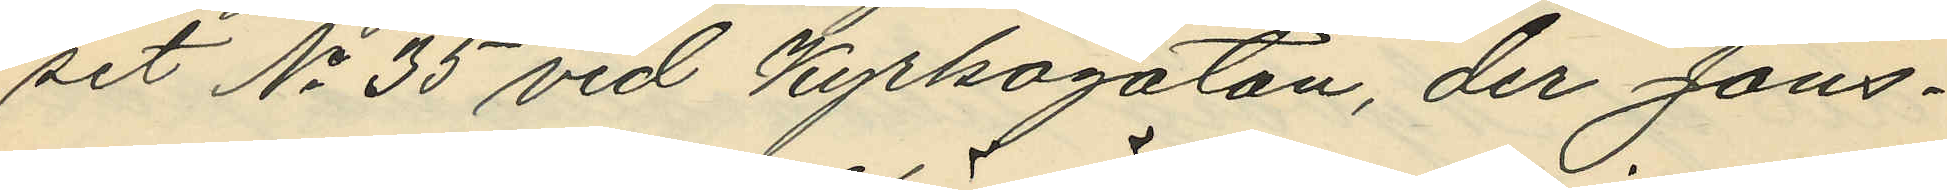set No 35 vid Kyrkogatan, der Jons¬
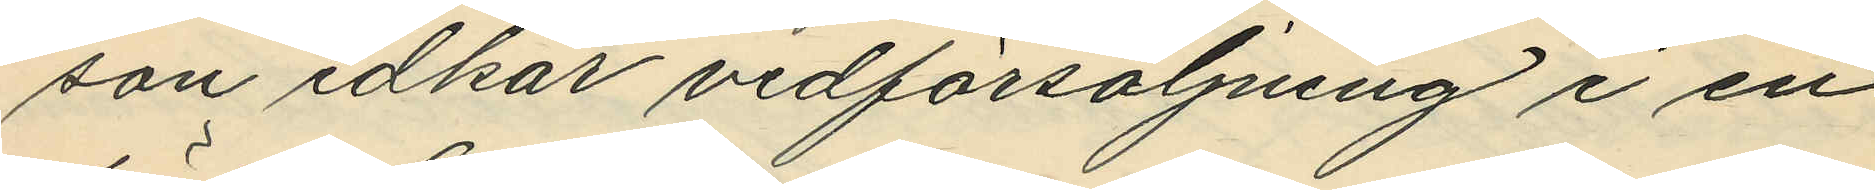son idkar vedförsäljning i en
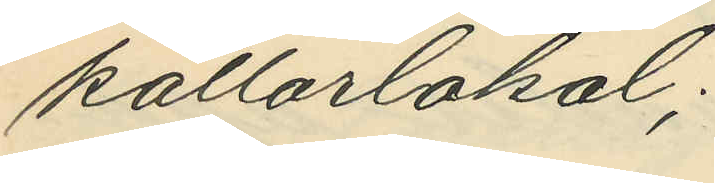källarlokal;
